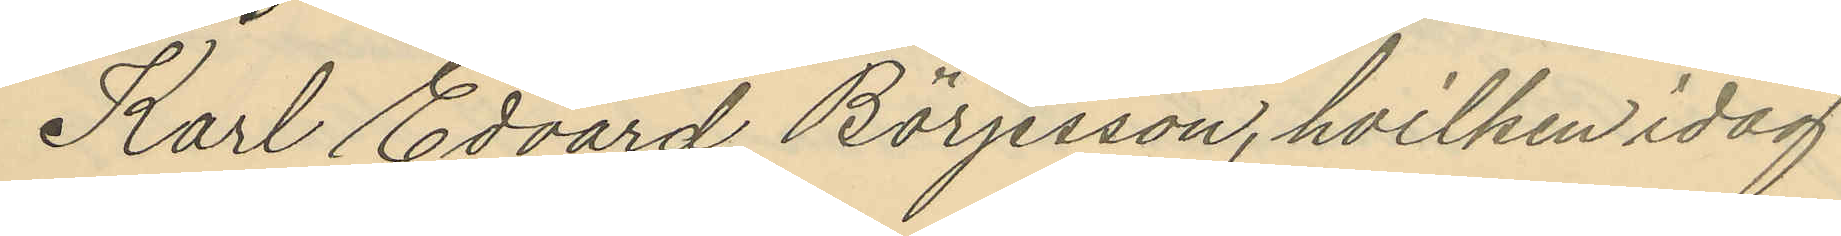Karl Edvard Börjesson, hvilken idag
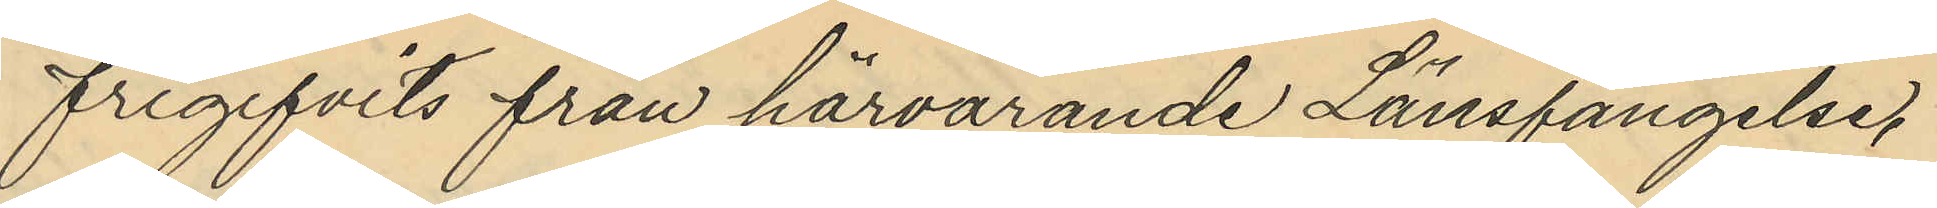frigifvits från härvarande Länsfängelse,
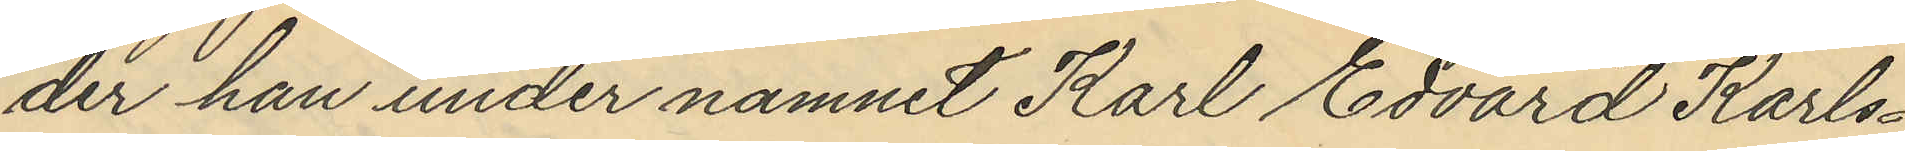der han under namnet Karl Edvard Karls¬
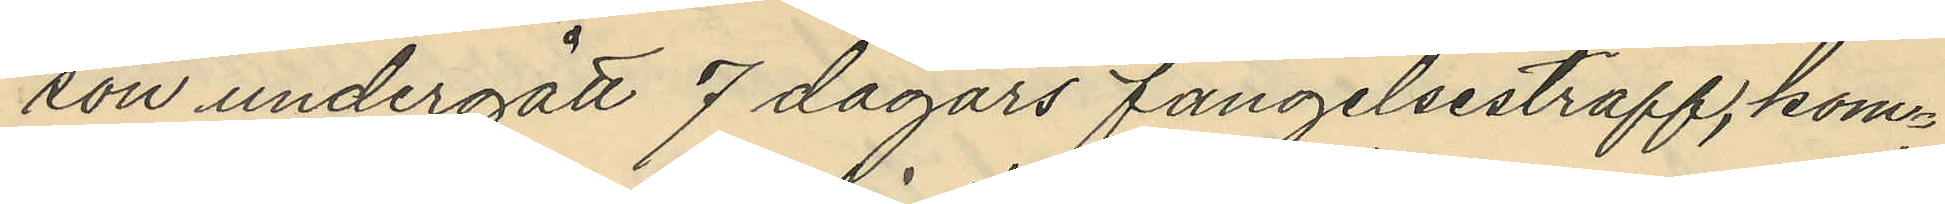son undergått 7 dagars fängelsestraff, kom¬
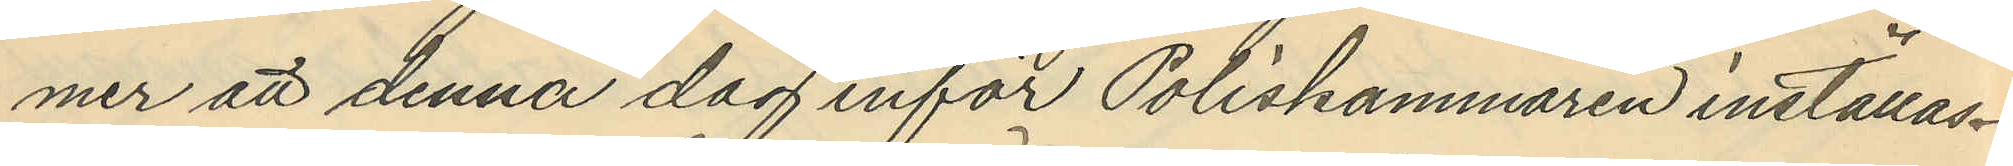mer att denna dag inför Poliskammaren inställas.
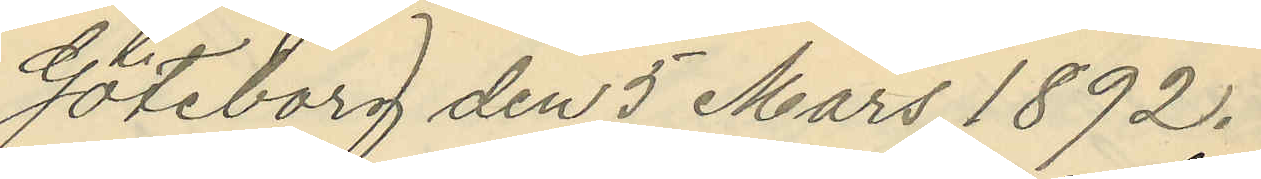Göteborg den 5 Mars 1892.
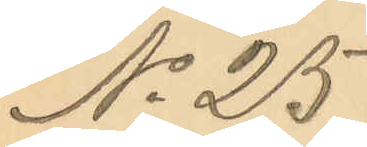No 25
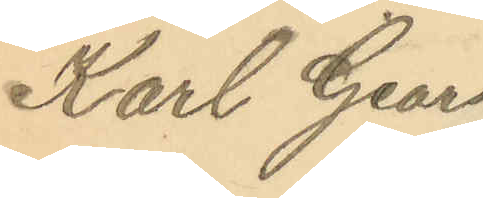Karl Georg
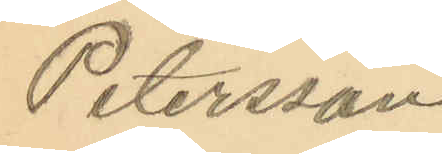Petersson
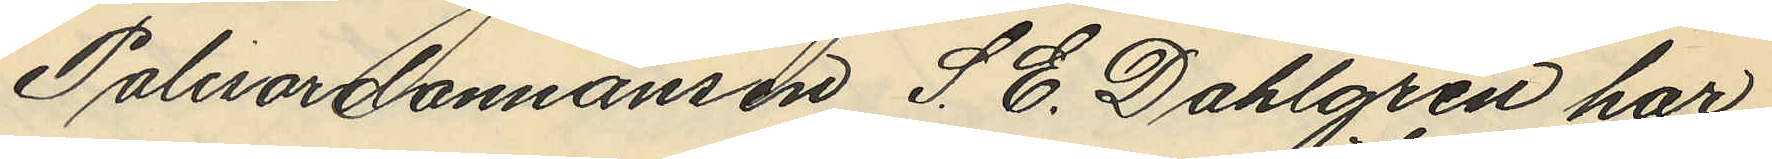Polisordonnansen S. E. Dahlgren har
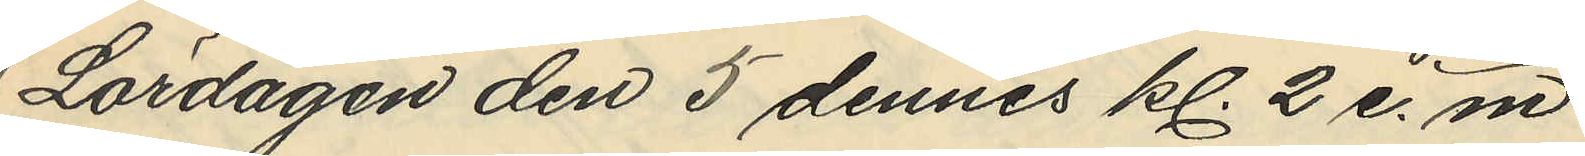Lördagen den 5 dennes kl. 2 e. m
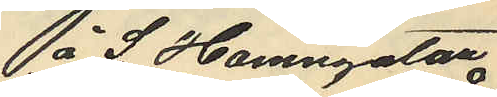å S. Hamngatan
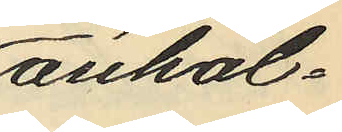anhål¬
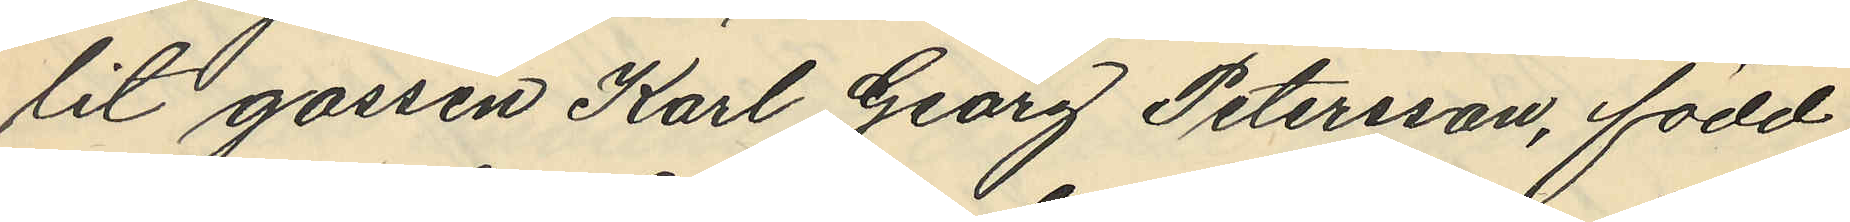lit gossen Karl Georg Petersson, född
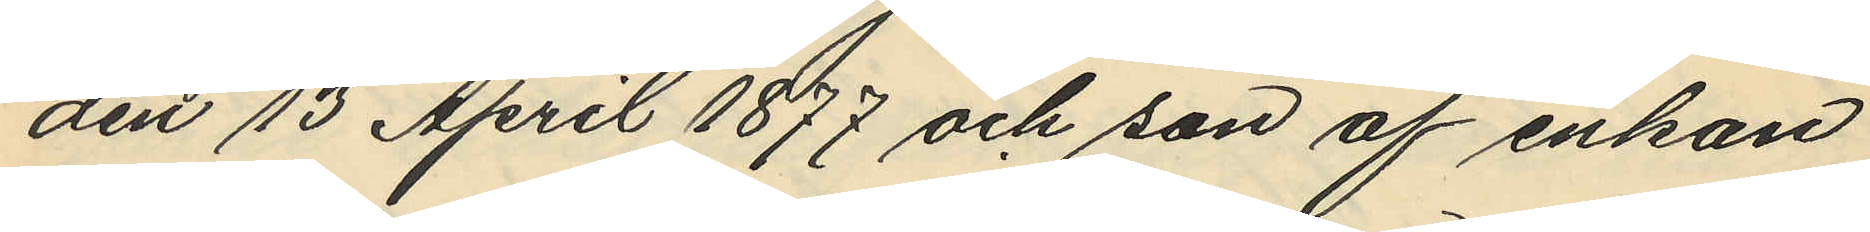den 13 April 1877 och son af enkan
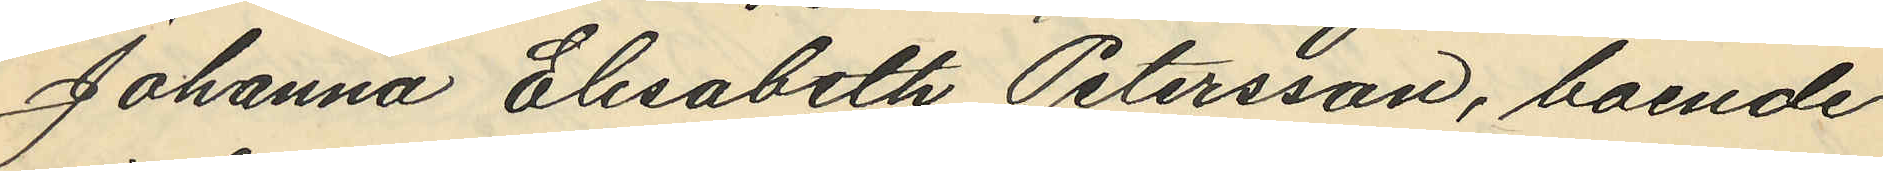Johanna Elisabeth Petersson, boende
